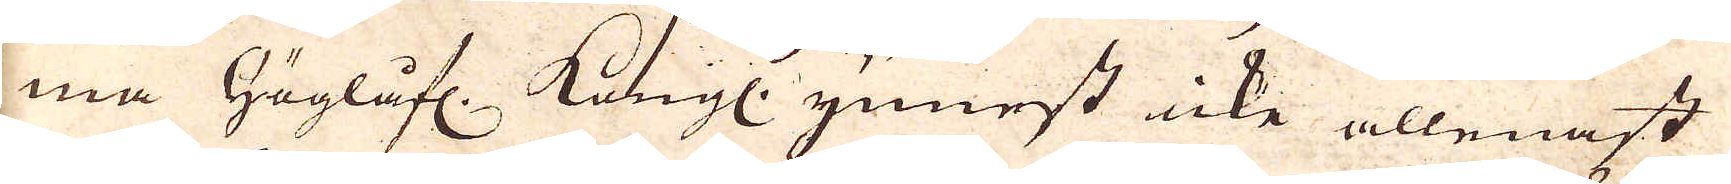ma Höglåfl. Kungl. ynnest icke allenast
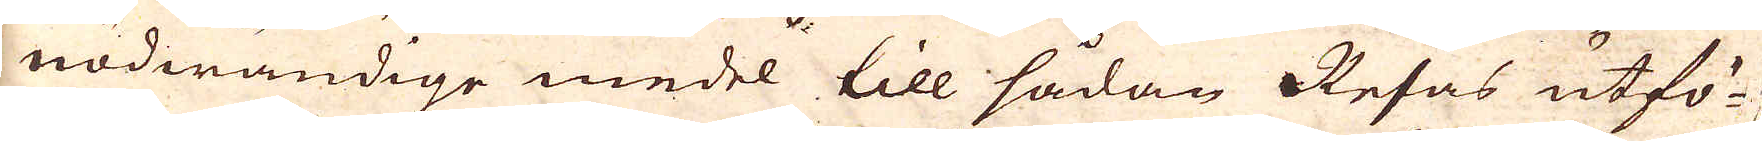nödwändige medel till sådan Resas utfö-
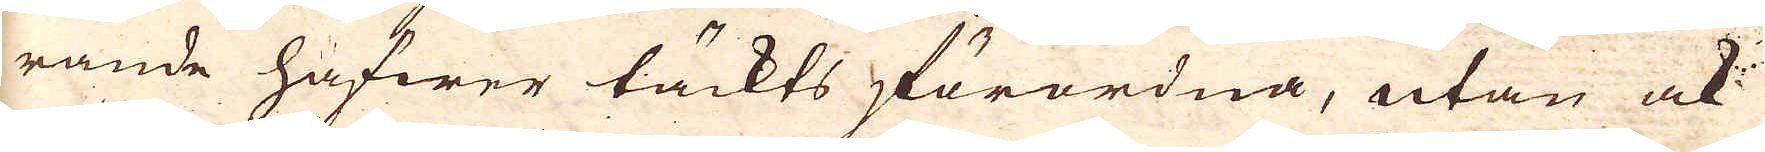rande hafwer täckts förordna, utan ock
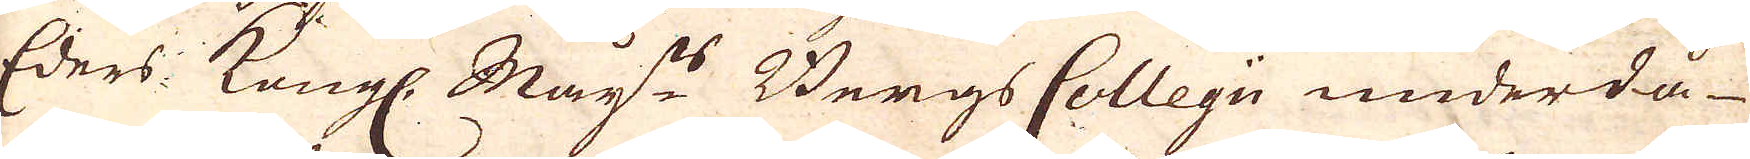Eders: Kungl. May:ts Bergs Collegii underdå-
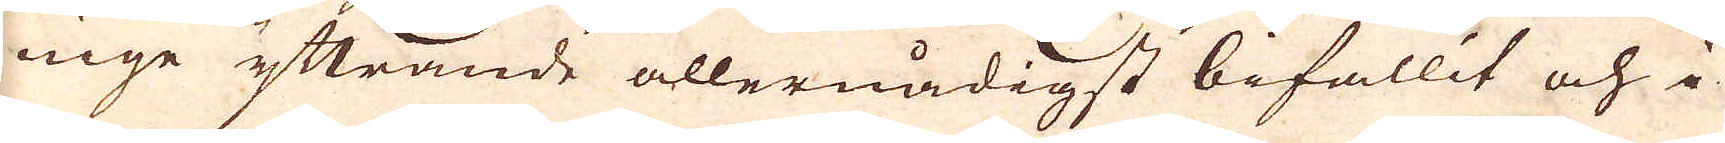ninge yttrande allernådigst bifallit och i
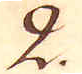2.
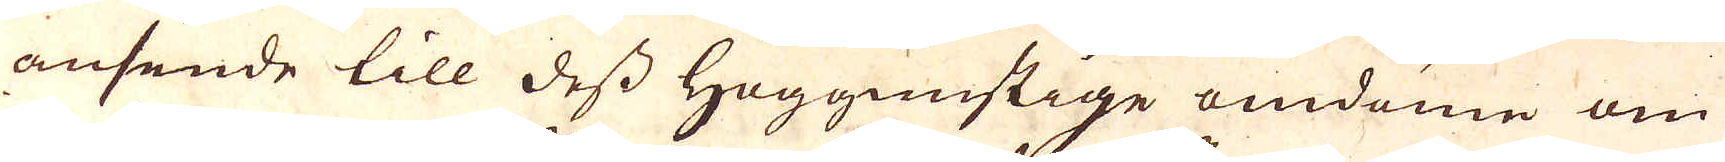ansende till dess Höggunstige omdöme om
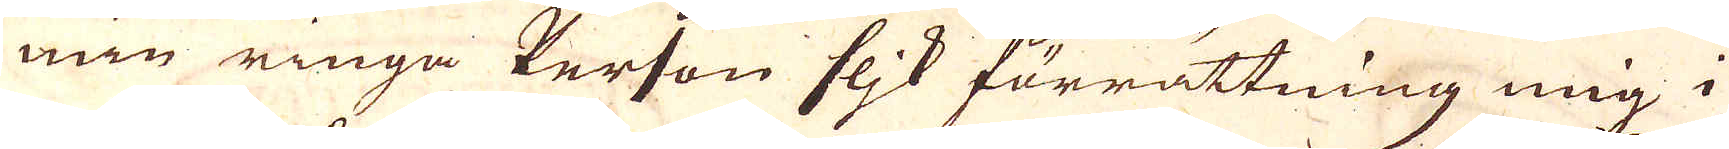min ringa Person flik förrättning mig i
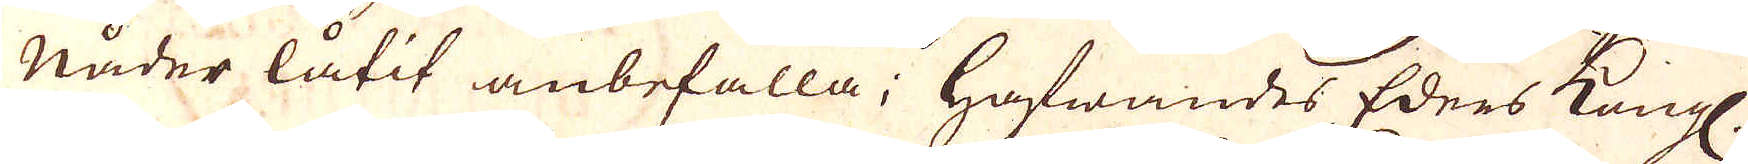Nåder låtit anbefalla; Hafwandes Edres Kungl.
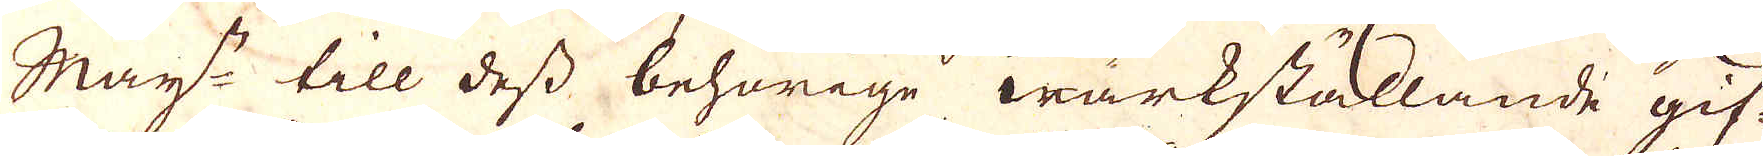May:ts till dess behörige wärkställande gif-
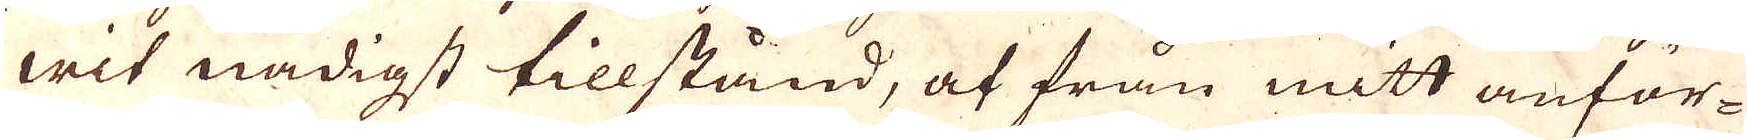wit nådigst tillståund, af från mitt amnför-
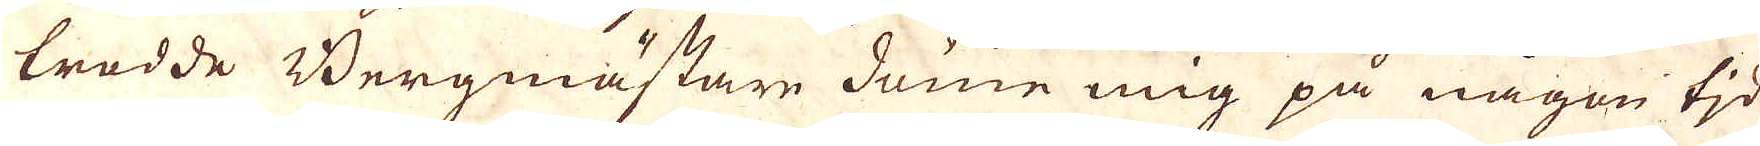trodde Bergmästare döme mig på någon tid
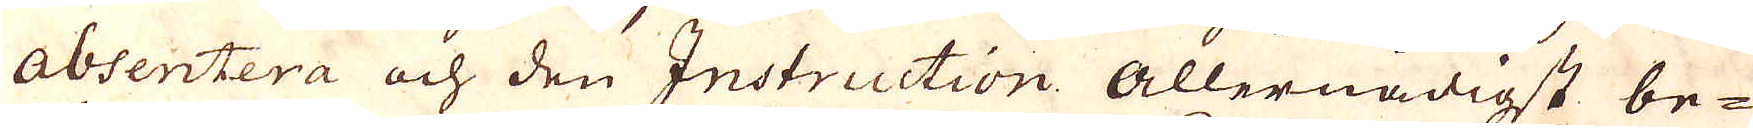absentera och den Instruction allernådigst be-
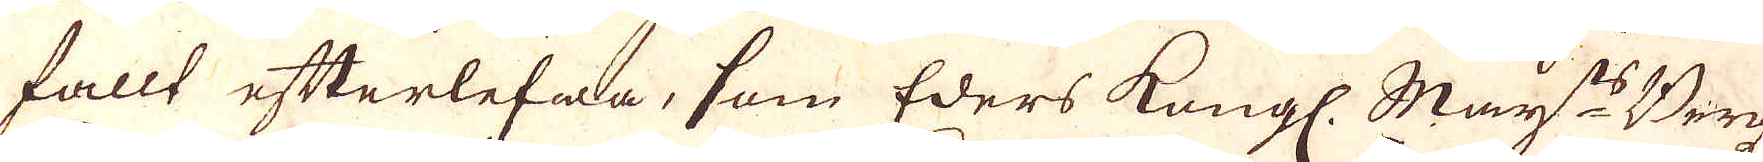fallt efterlefwa, som Eders Kongl. May:ts Bergs-
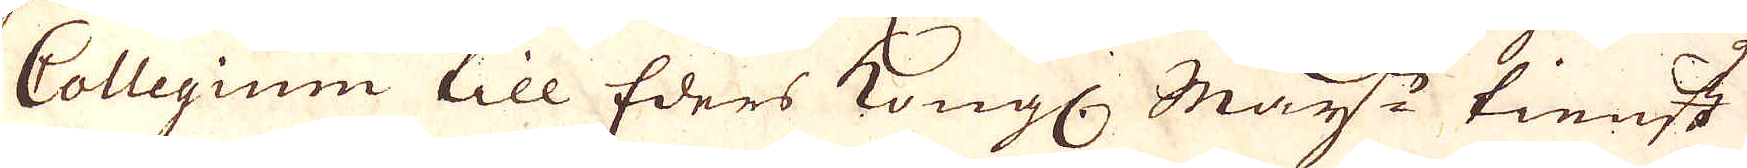Collegium till Eders Kongl: May:ts tienst
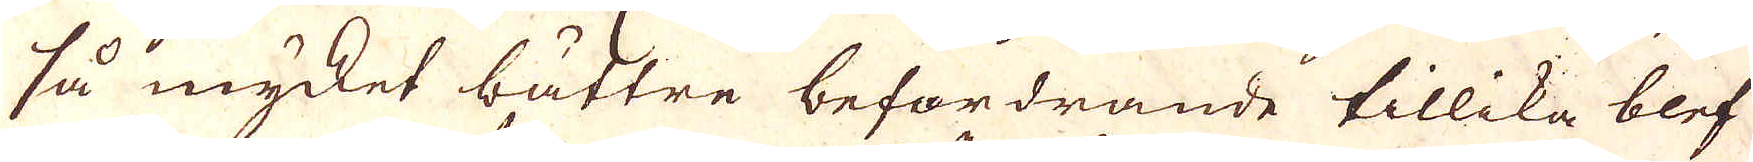så mycket bättre befordrande tillika blef
